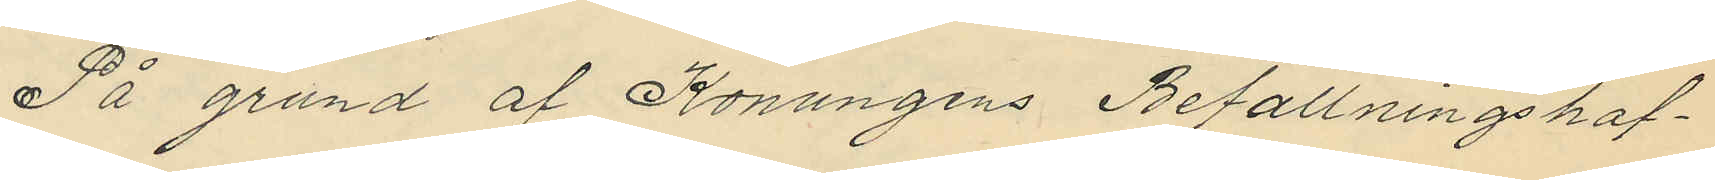På grund af Konungens Betallningshaf¬
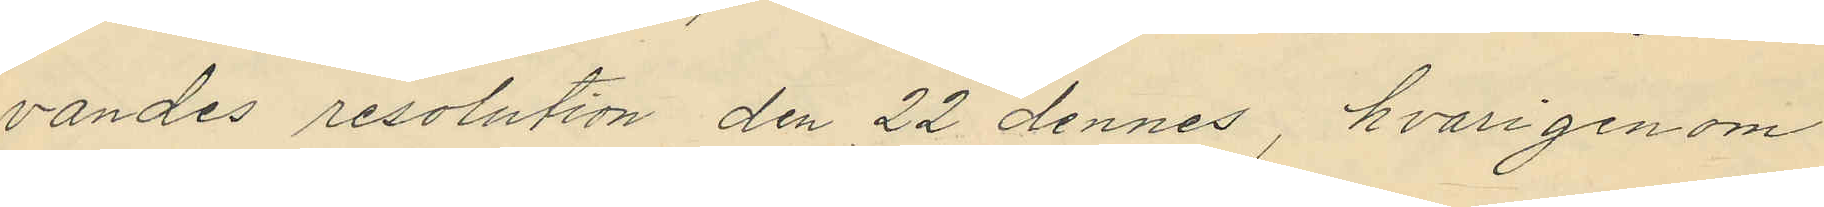vandes resolution den 22 dennes, hvarigenom
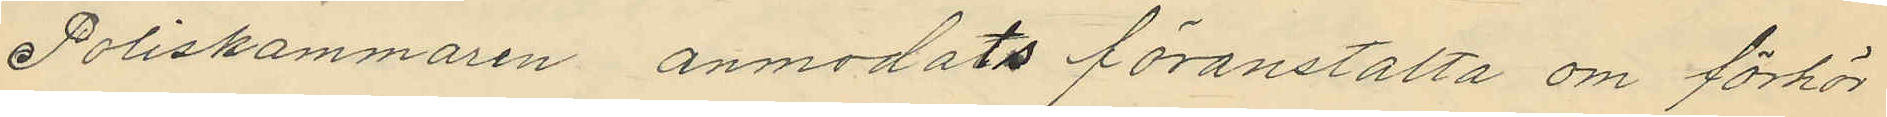Poliskammaren anmodats föranstalta om förhör
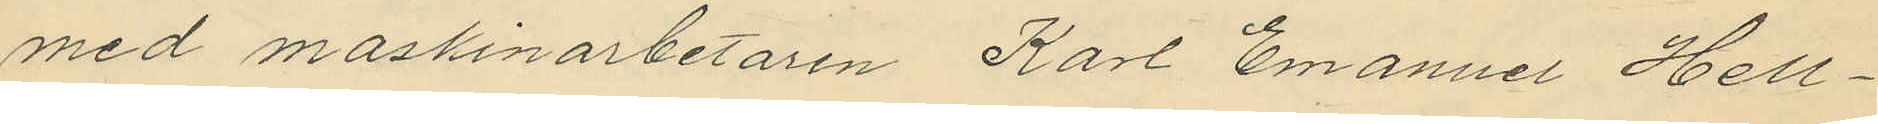med maskinarbetaren Karl Emanuel Hell¬
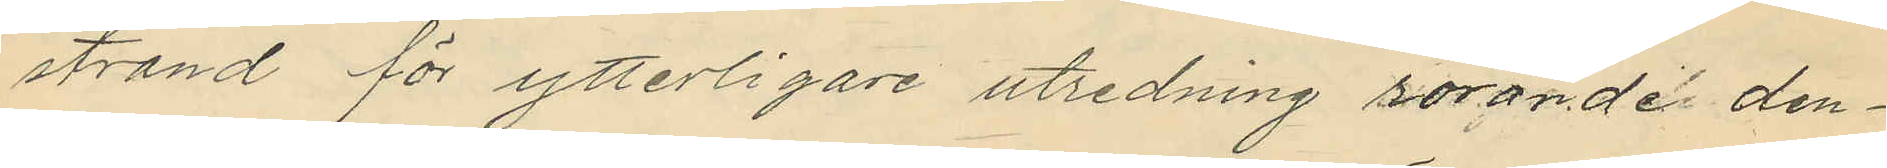strand för ytterligare utredning rörande den¬
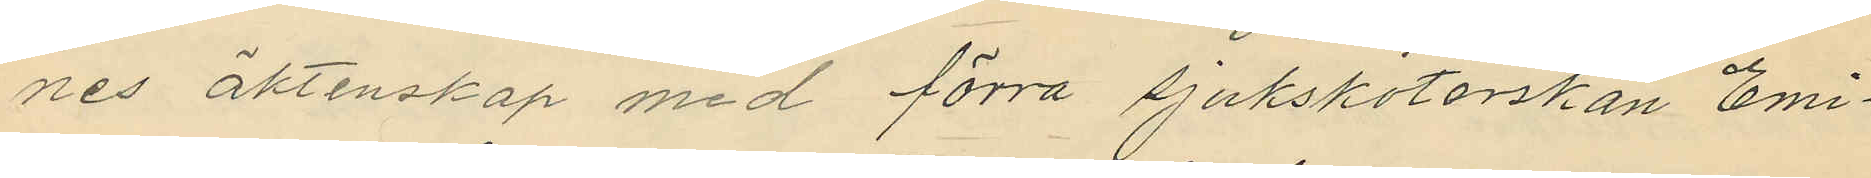nes äktenskap med förra sjuksköterskan Emi¬
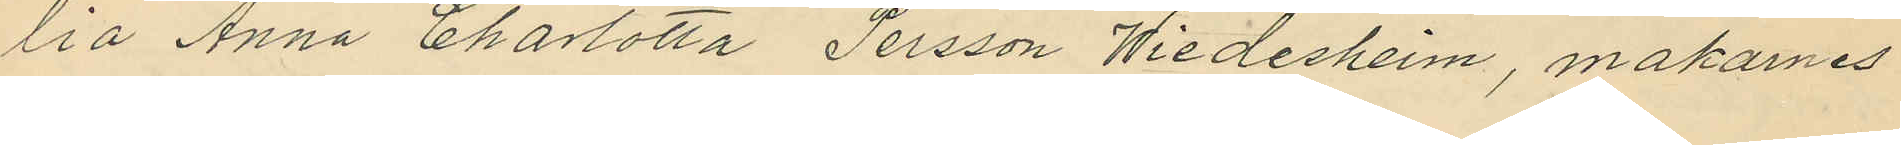lia Anna Charlotta Persson Wiedesheim, makarnes
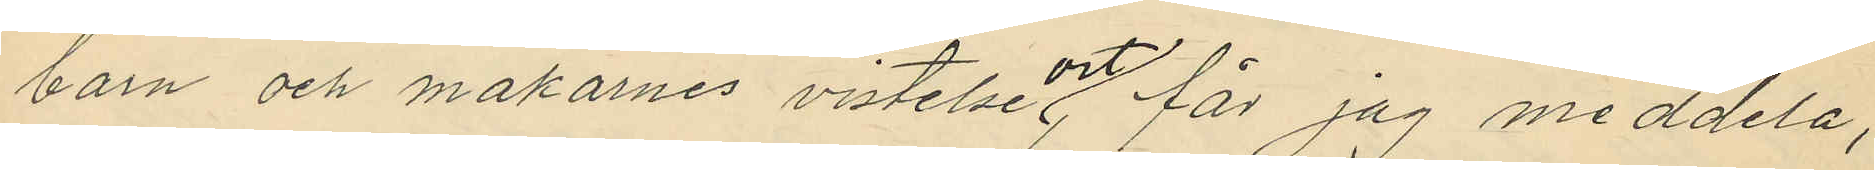barn och makarnes vistelseort, får jag meddela,
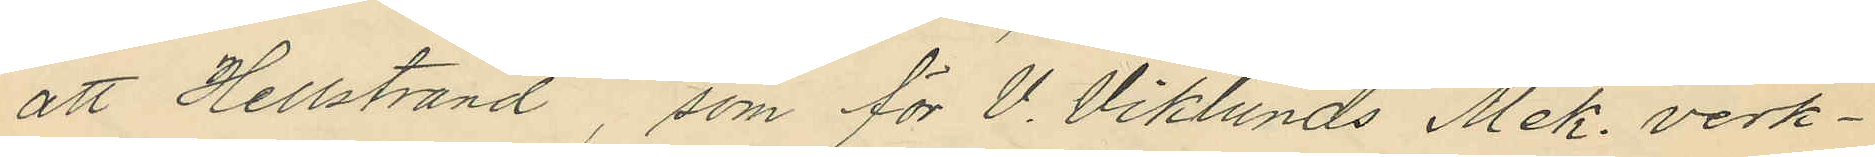att Hellstrand, som för V. Viklunds Mek. verk¬
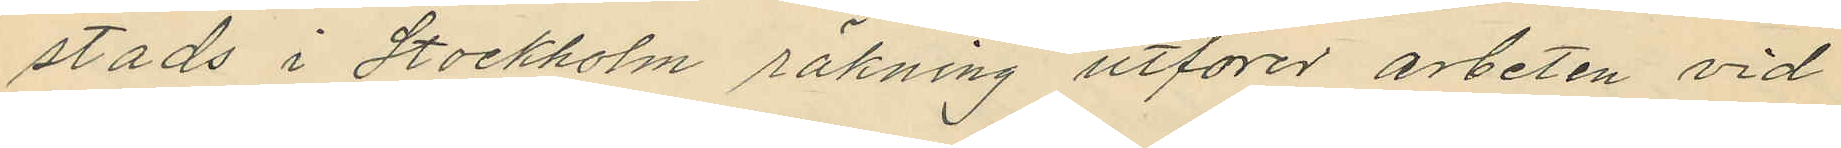stads i Stockholm räkning utförer arbeten vid
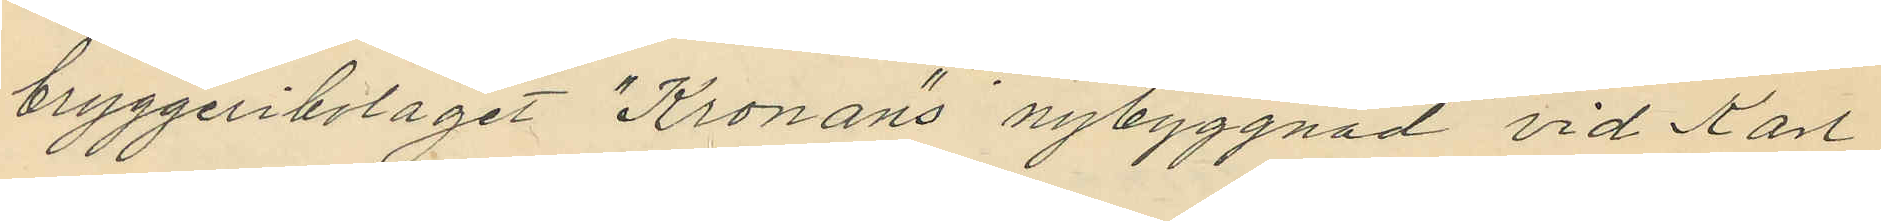bryggeribolaget "Kronan"s nybyggnad vid Karl
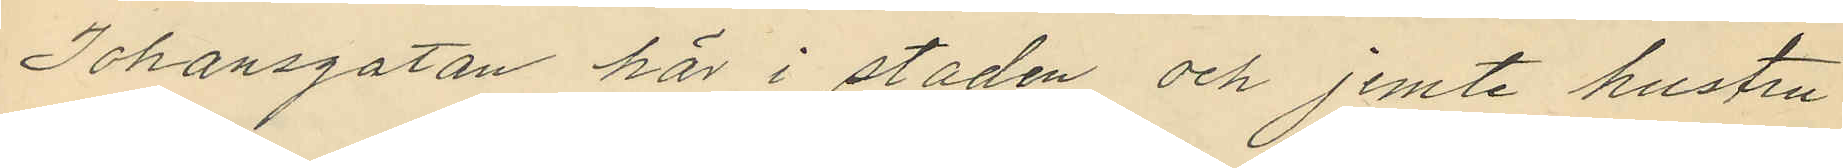Johansgatan här i staden och jemte hustru
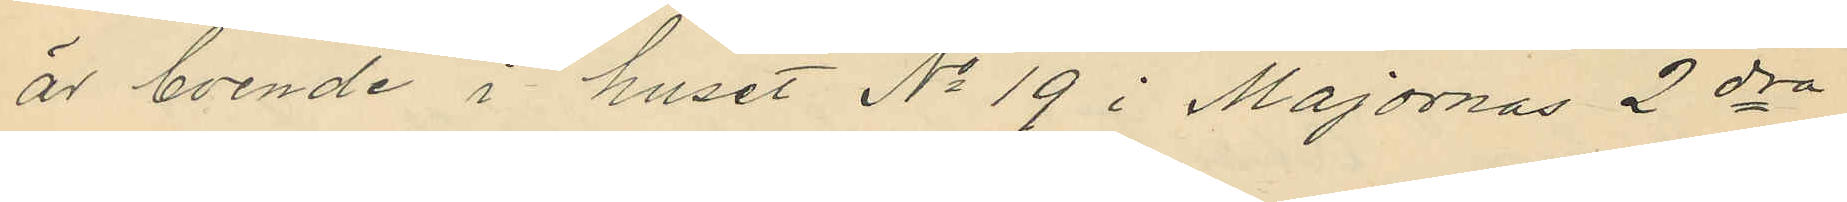är boende i huset No 19 i Majornas 2dra
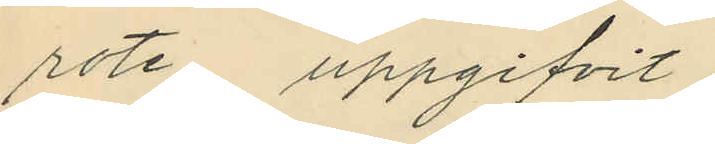rote uppgifvit:
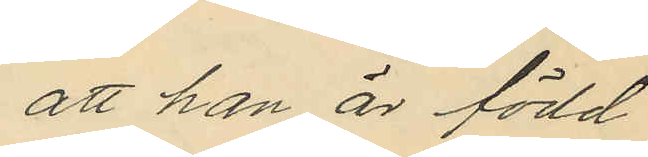att han är född
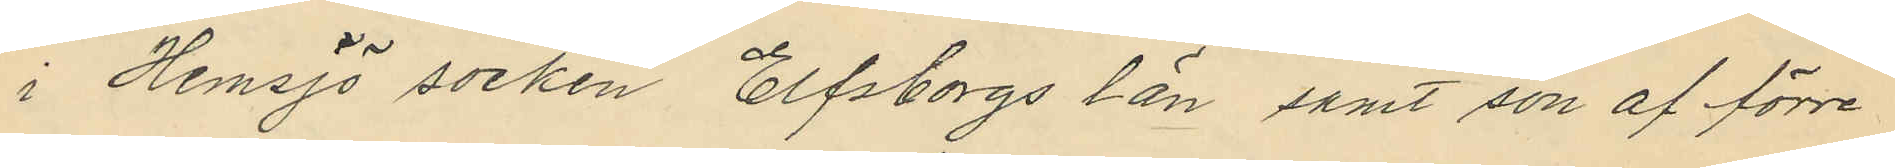i Hemsjö socken Elfsborgs län samt son af förre
